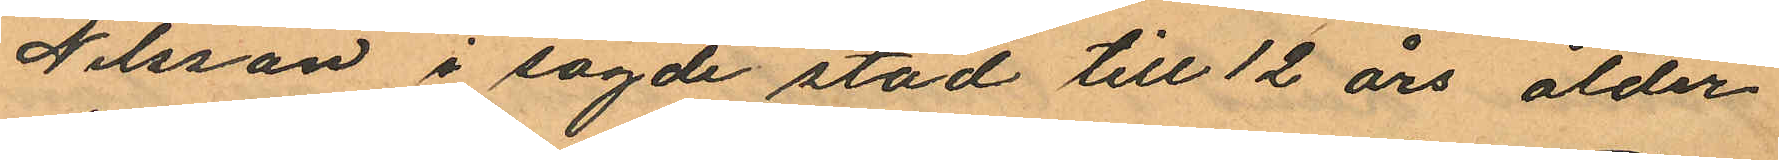Nilsson i sagde stad till 12 års ålder
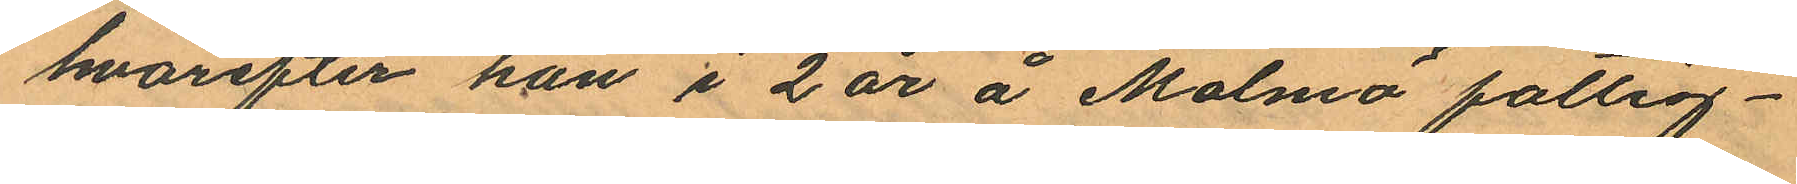hvarefter han i 2 år å Malmö fattig¬
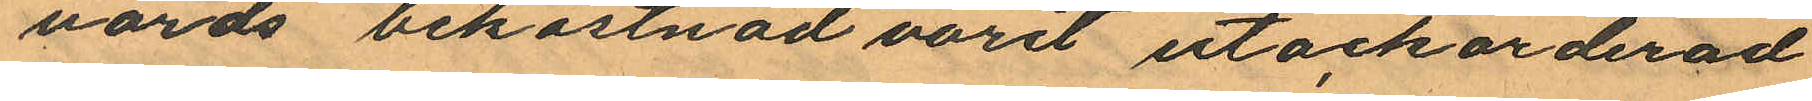vårds bekostnad varit utackorderad
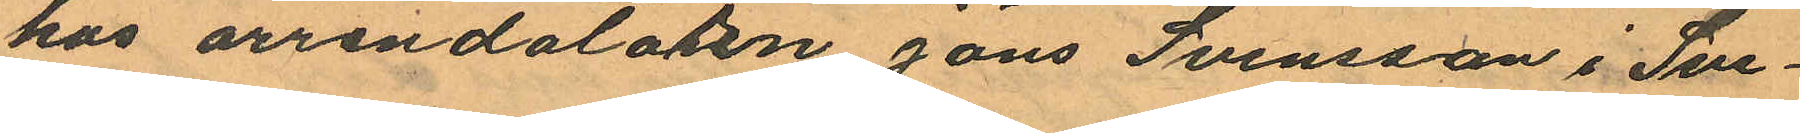hos arrendatatorn Jöns Svensson i Sve¬
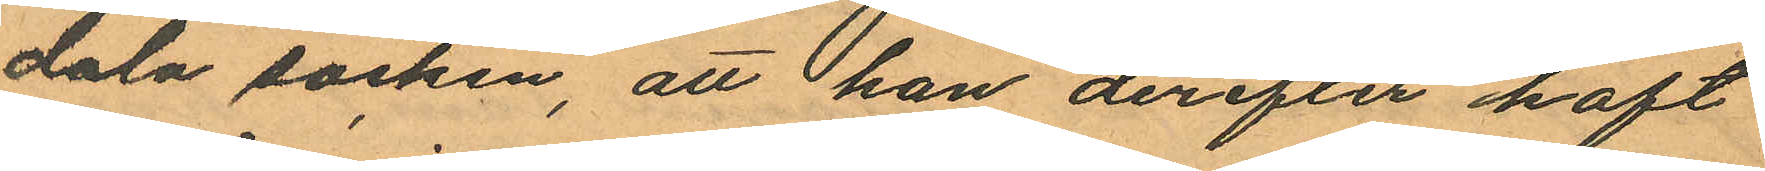dala socken, att han derefter haft
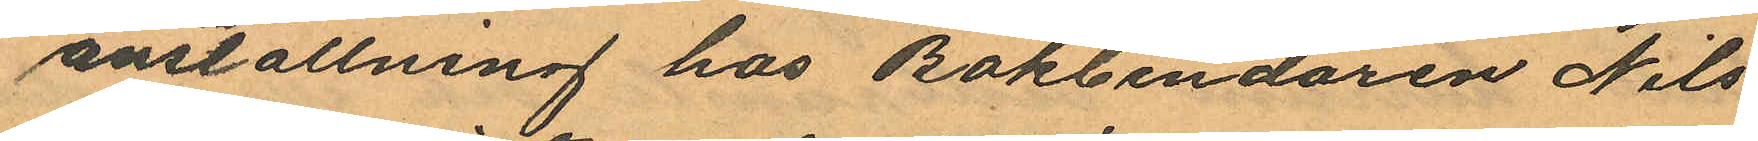anställning hos Bokbindaren Nils
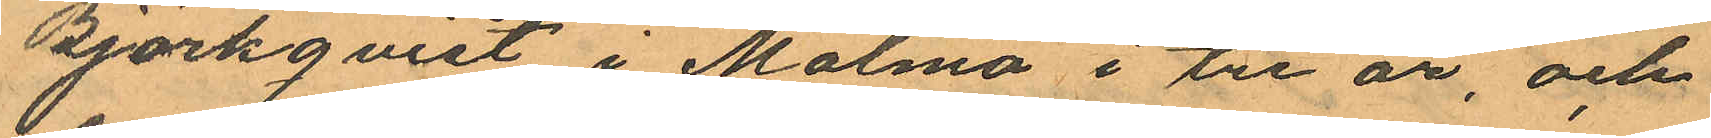Björkqvist i Malmö i tre år, och
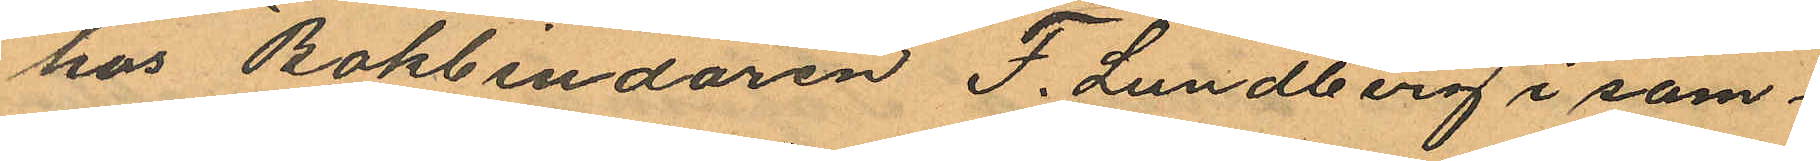hos Bokbindaren F. Lundberg i sam¬
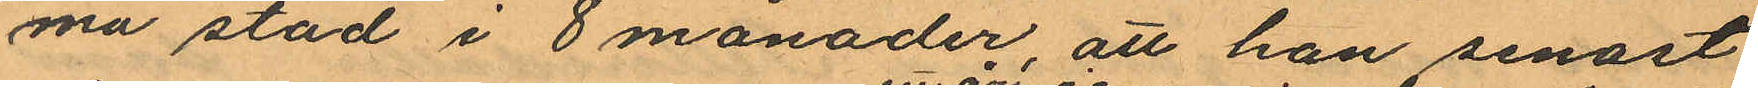ma stad i 8 månader, att han senast
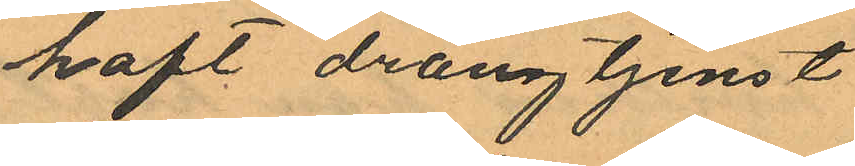haft drängtjenst
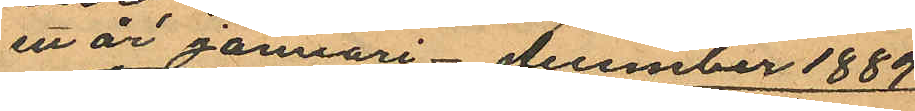ett år januari - december 1889
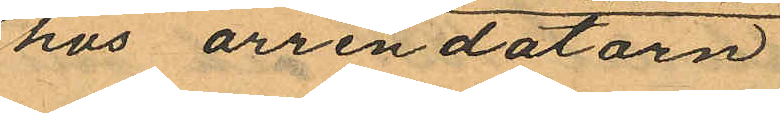hos arrendatorn
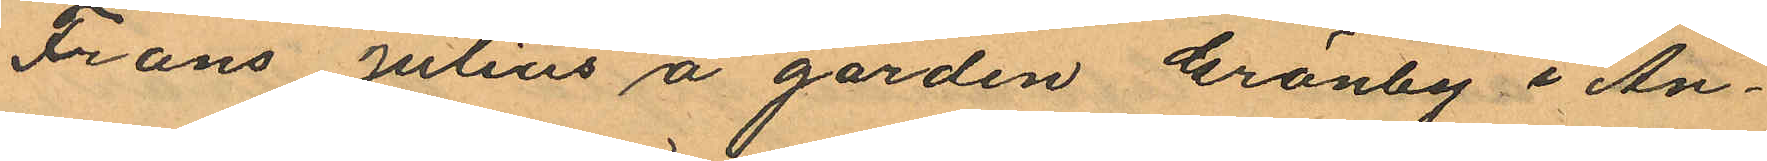Frans Julius å gården Gränby i An¬
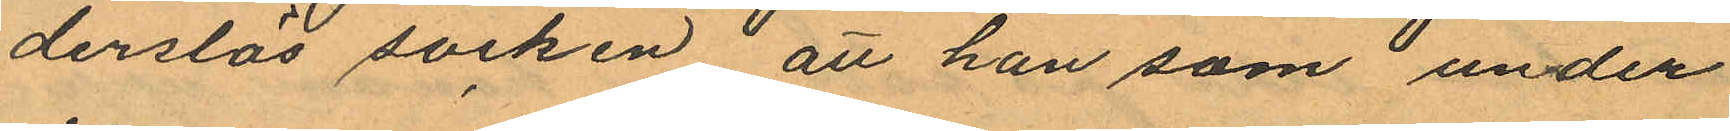derslös socken att han som under
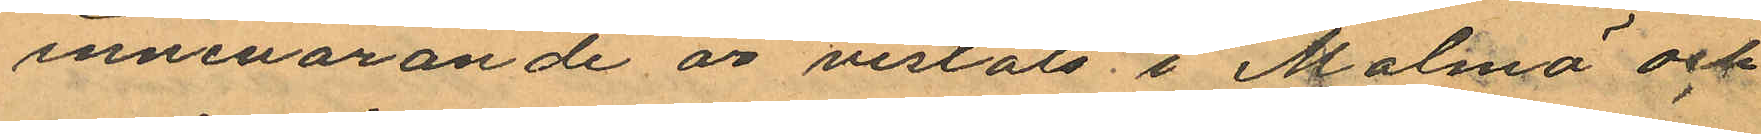innevarande år vistats i Malmö och
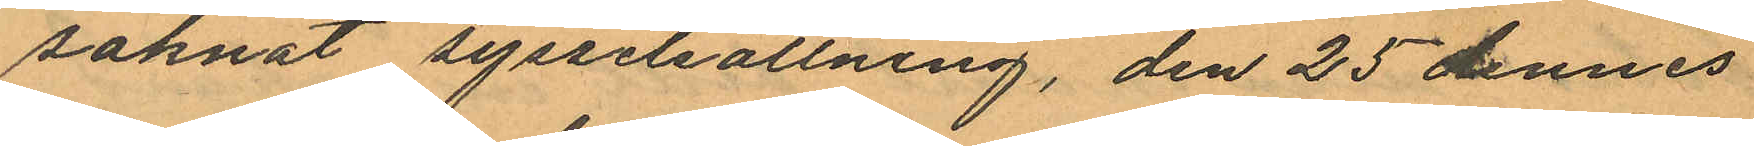saknat sysselsättning, den 25 dennes
